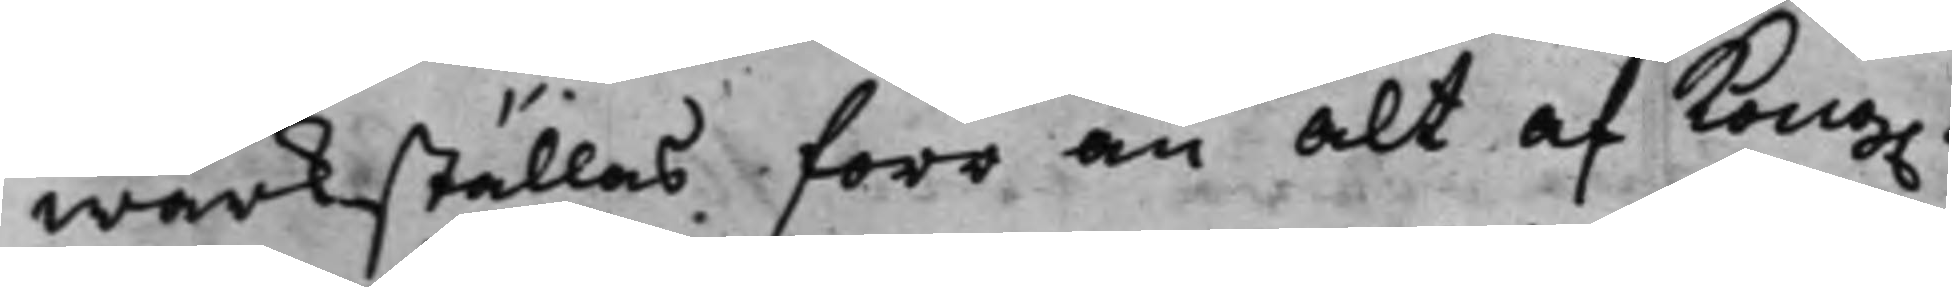wärkställas förr än alt af Kong.
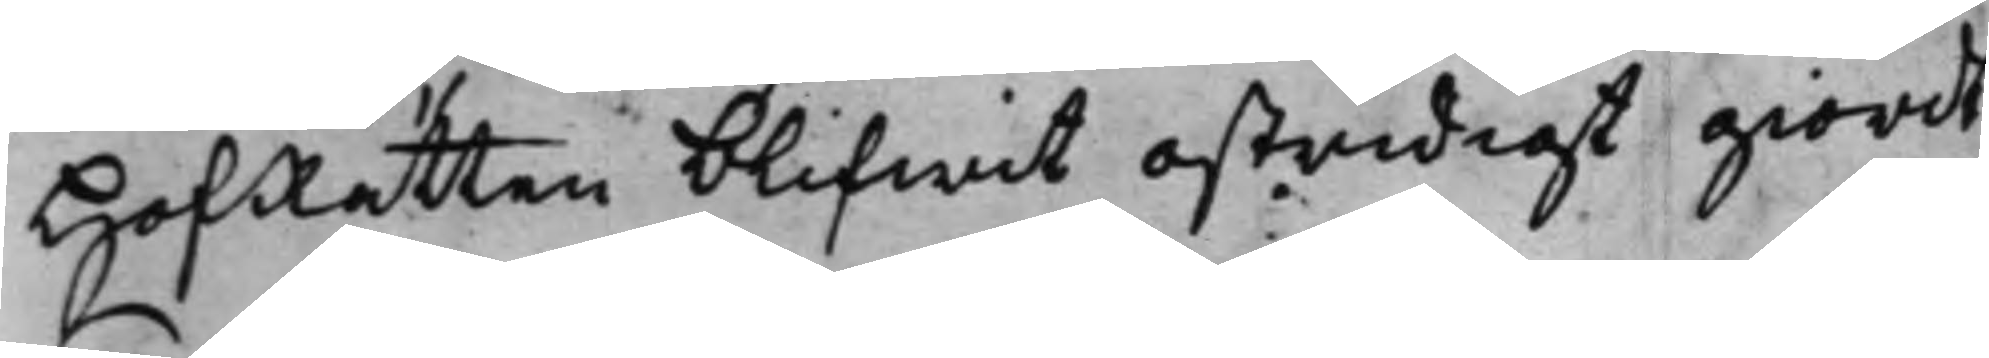HofRätten blifwit ostridigt giordt
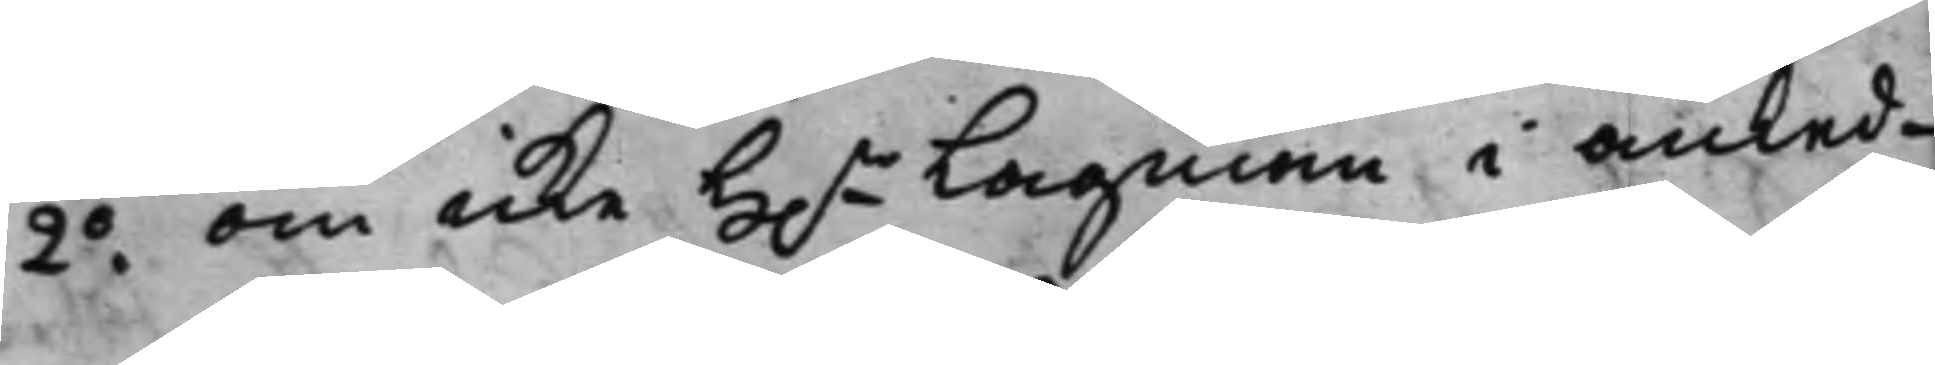2.o om icke H.r Lagman i anled¬
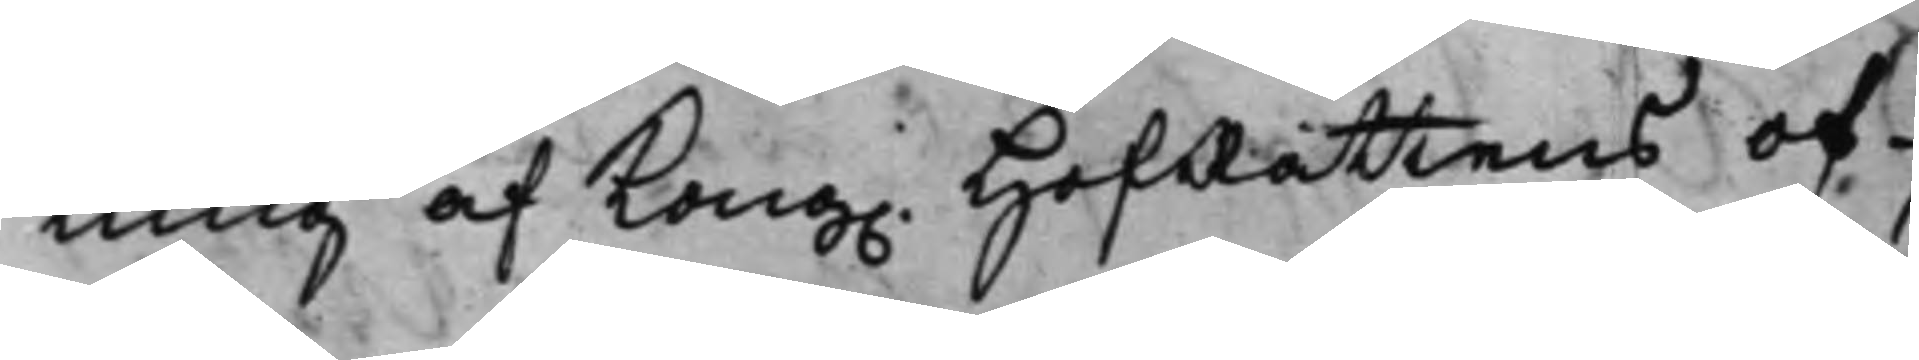ning af Kong. HofRättens of¬
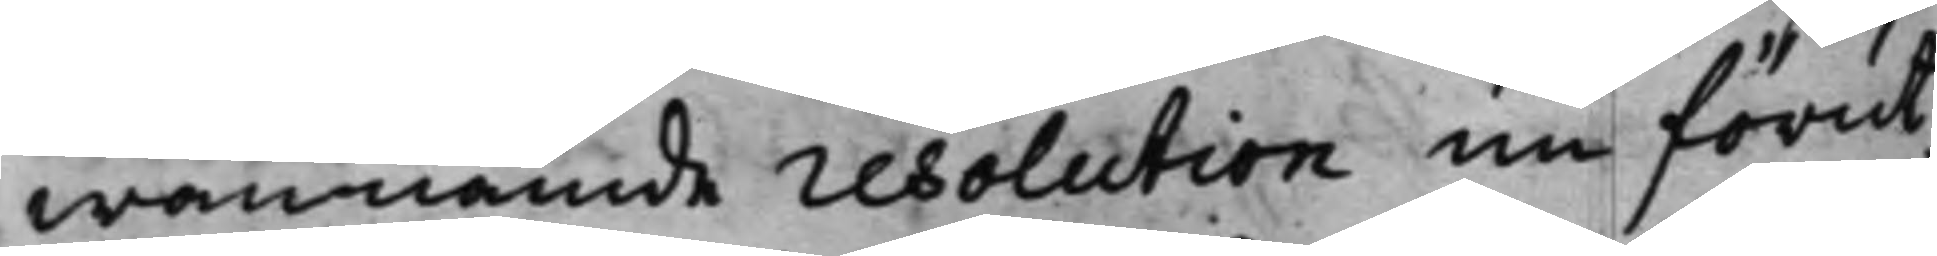wannämde resolution nu förut
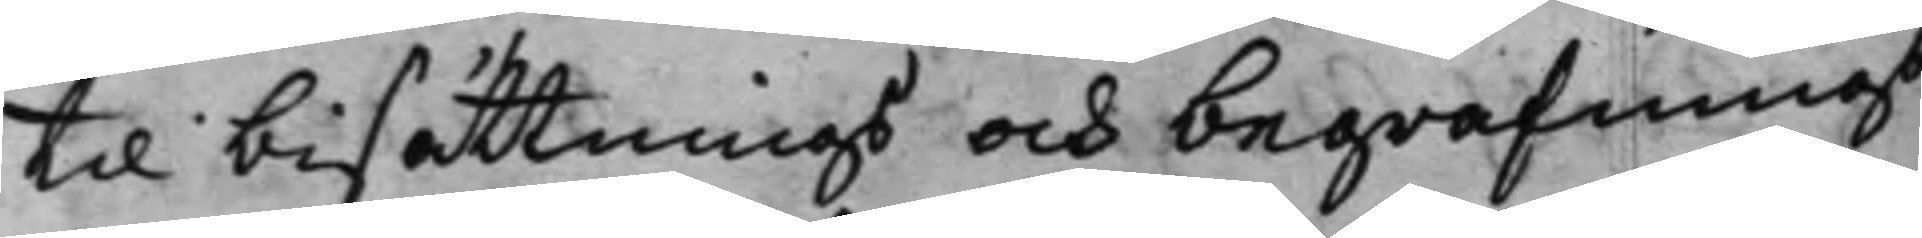till bisättnings och begrafnings
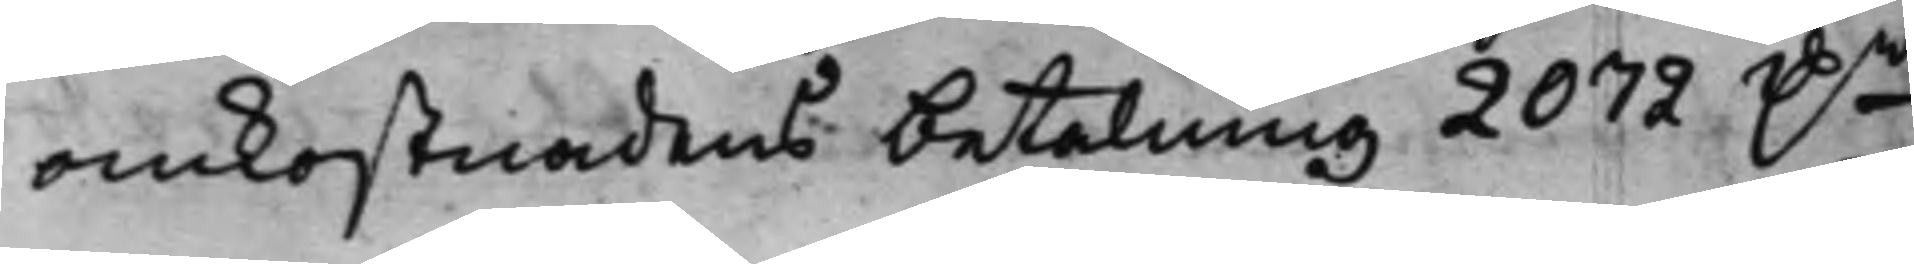omkostnadens betalning 2072 D.r
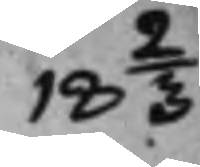18 2/3
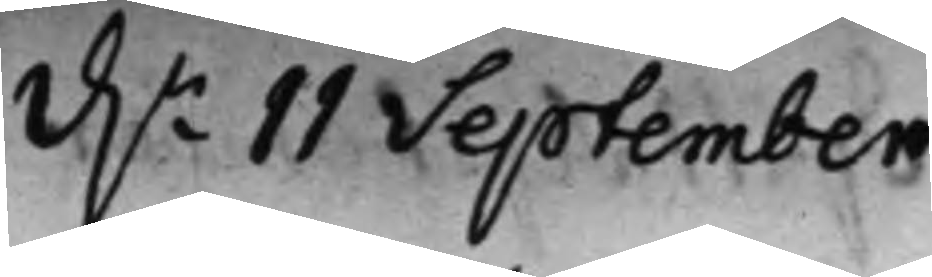d.n 11 September
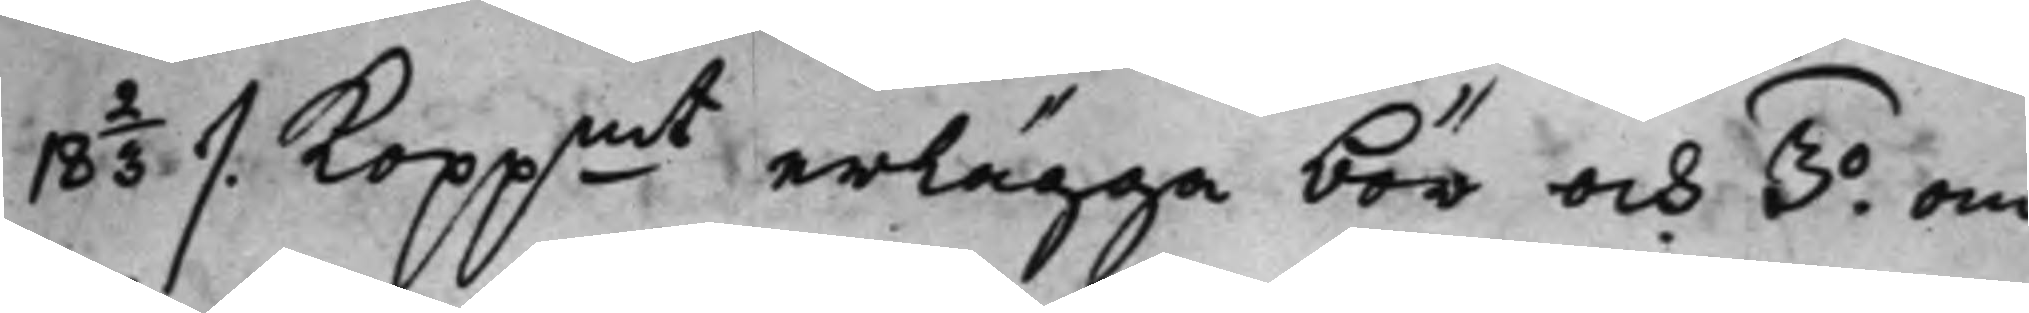18 2/3  /. Koppmt erlägga bör och 3.o om
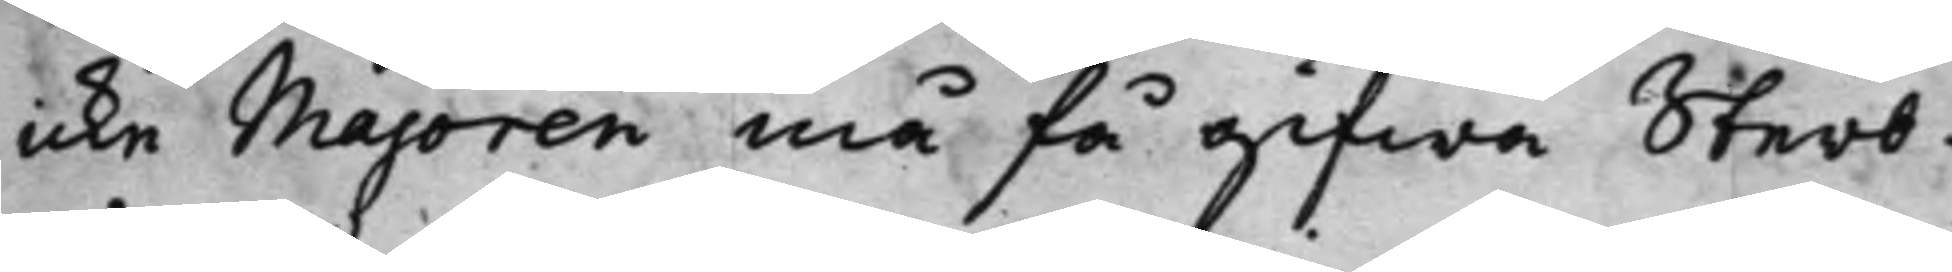icke Majoren må få gifwa Sterb¬
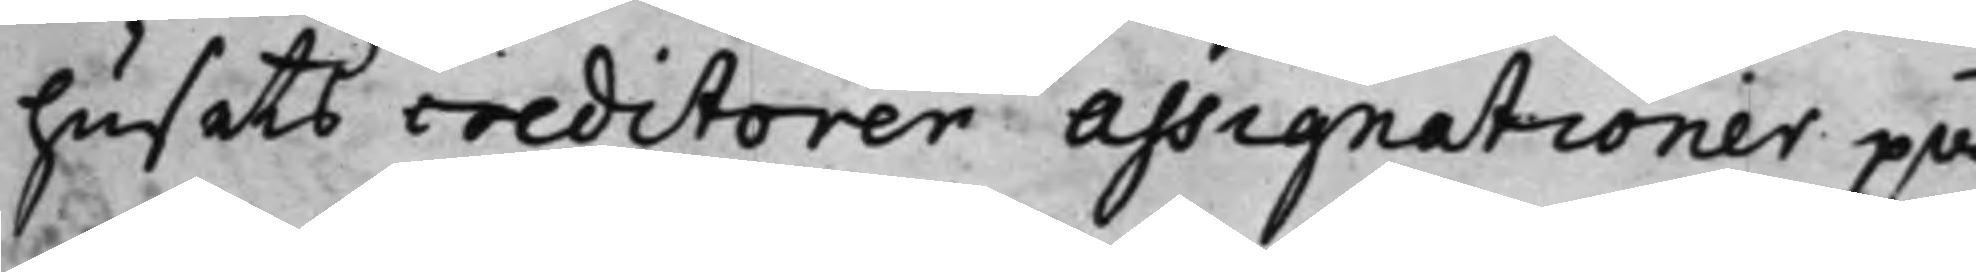husets creditorer assignationer på
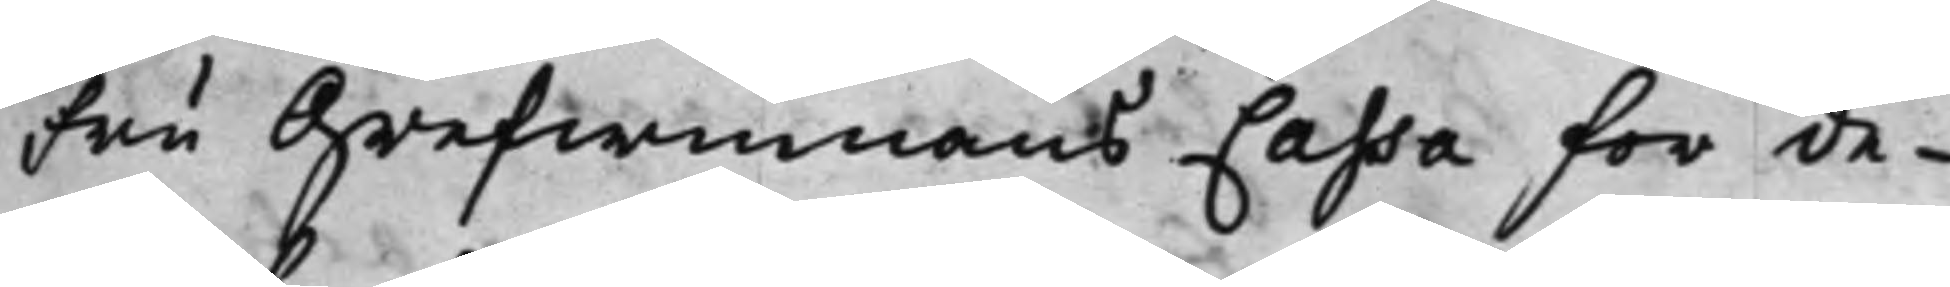Fru Grefwinnans Cassa för de¬
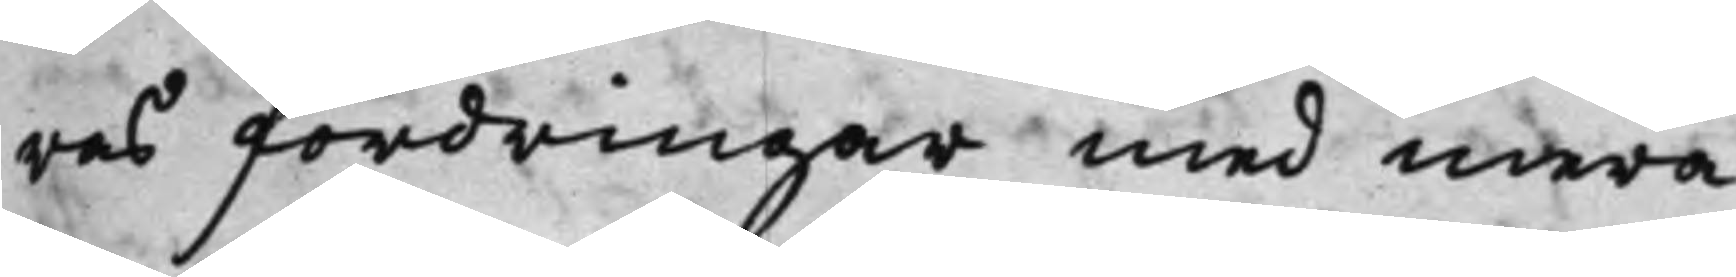ras fordringar med mera.
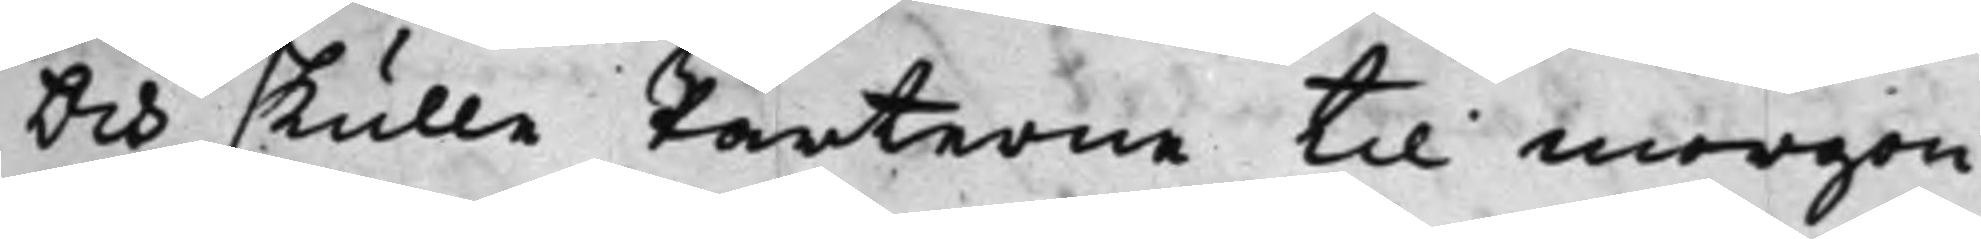Och skulle Parterne til morgon
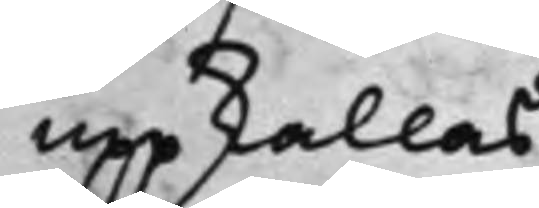uppkallas.
